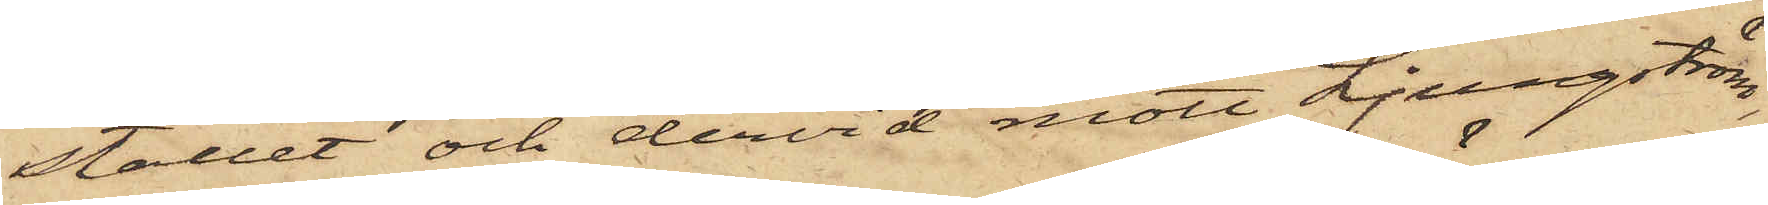stället och dervid mött Ljungström,
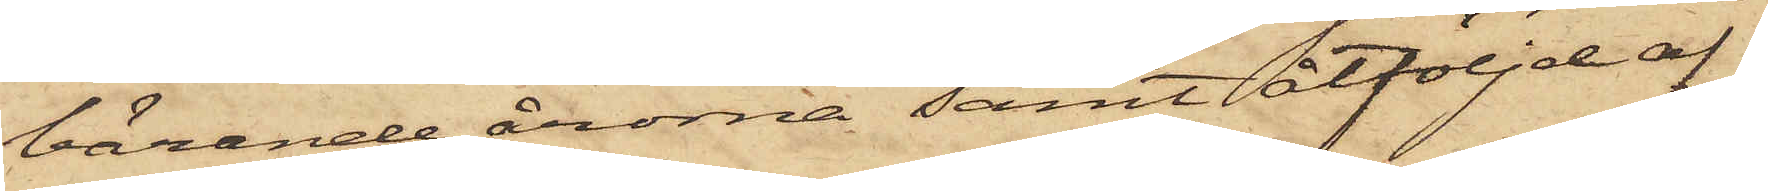bärande årorna samt åtföljd af
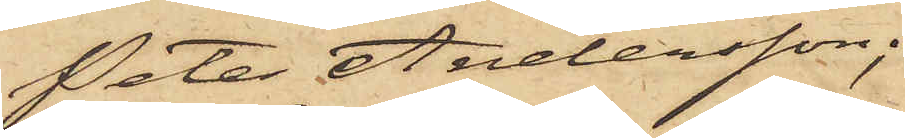Peter Andersson;
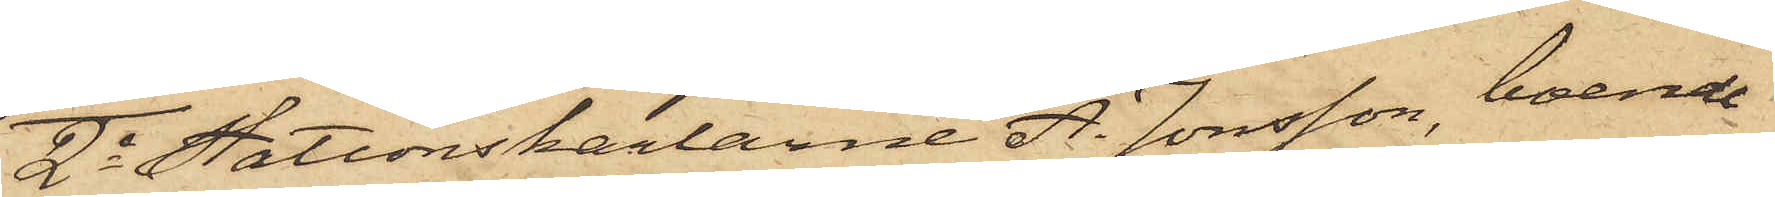2o Stationskarlarne A. Jonsson, boende
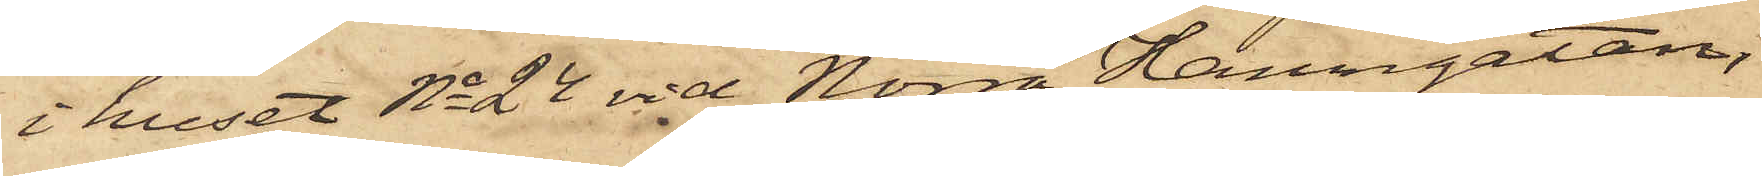i huset No 24 vid Norra Hamngatan,
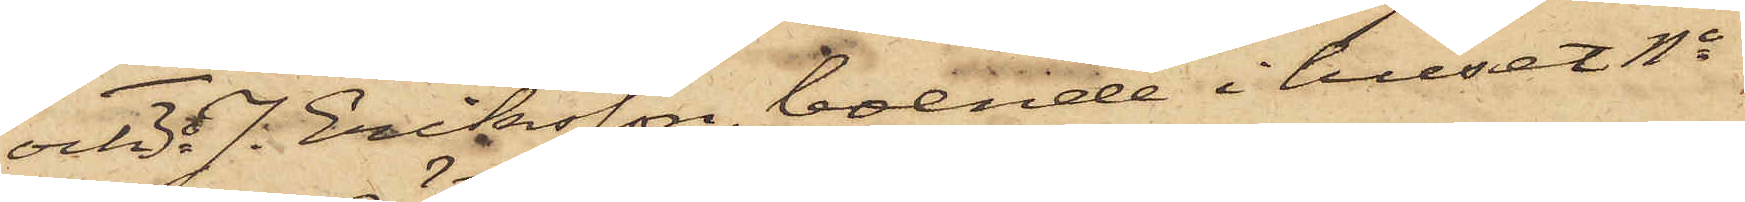och 3o J. Eriksson, boende i huset No
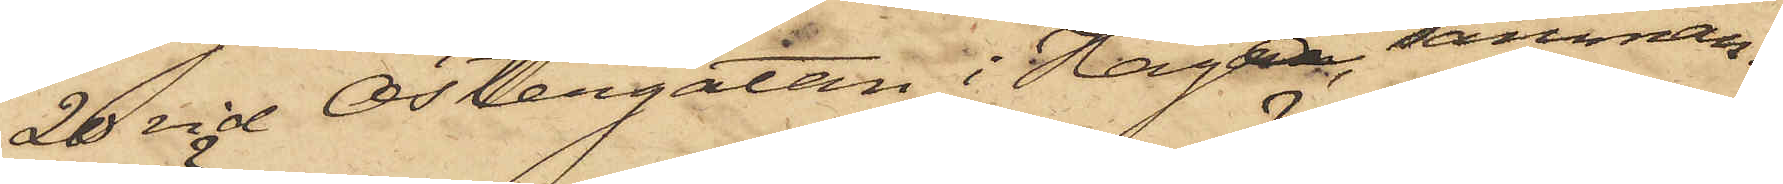20 vid Östergatan i Haga, samman¬
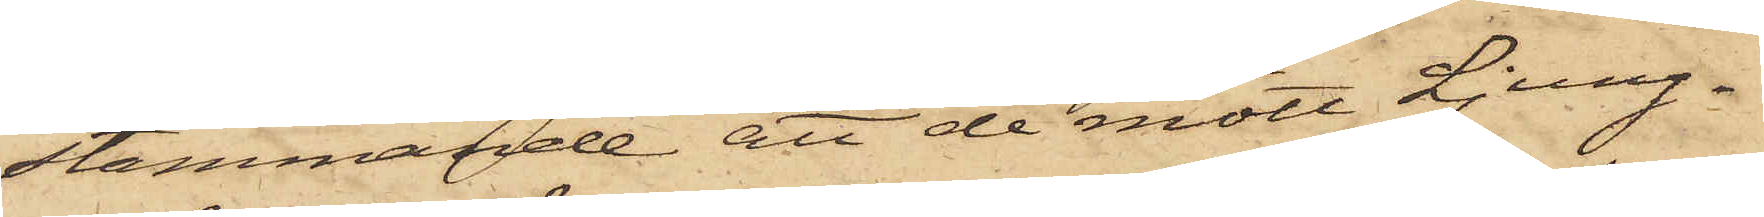stämmande att de mött Ljung¬
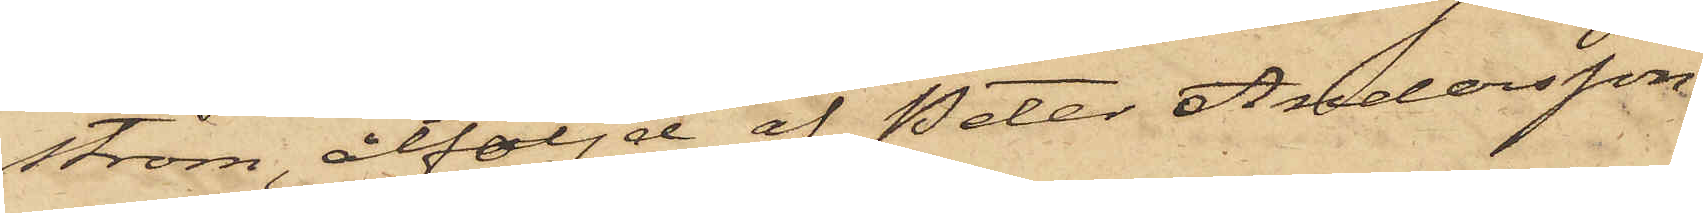ström, åtföljd af Peter Andersson
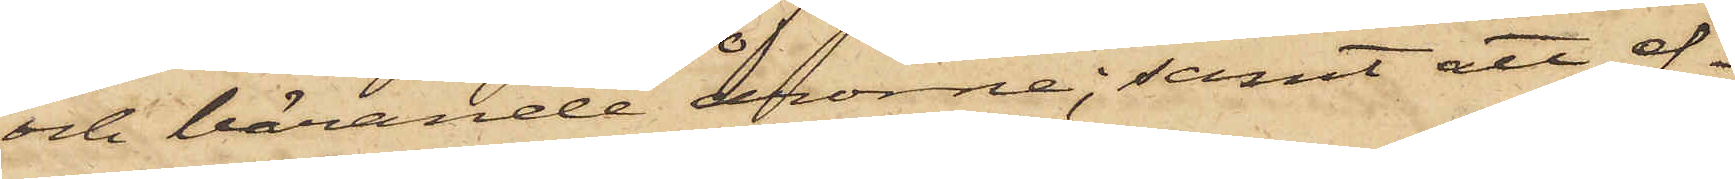och bärande årorne; samt att ef¬
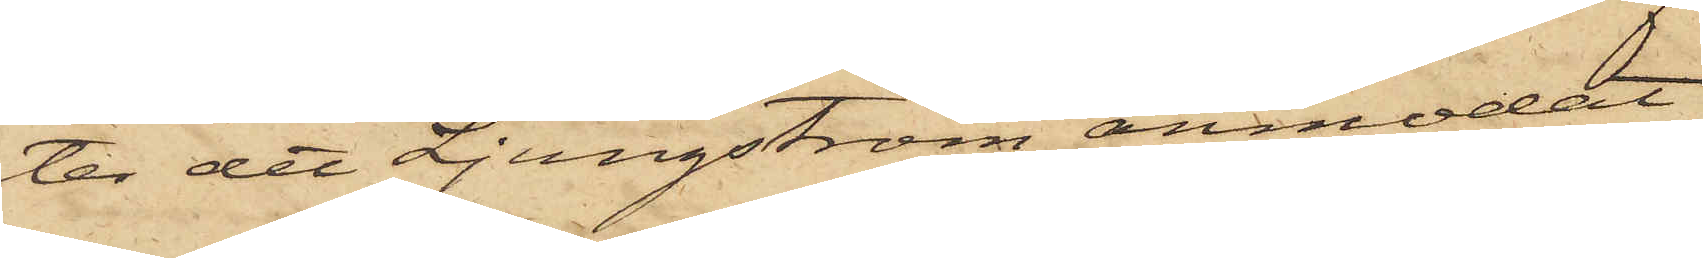ter det Ljungström anmodat
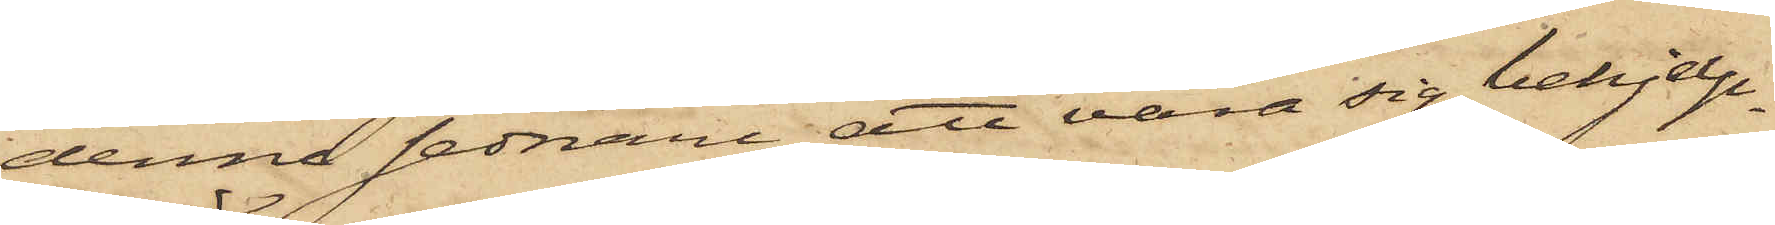denne sednare att vara sig behjelp¬
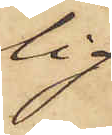lig
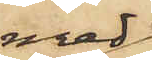med
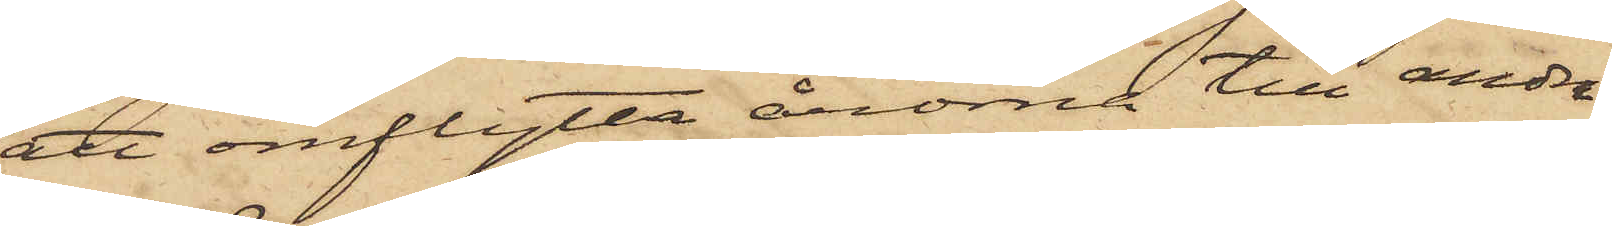att omflytta årorna till andra
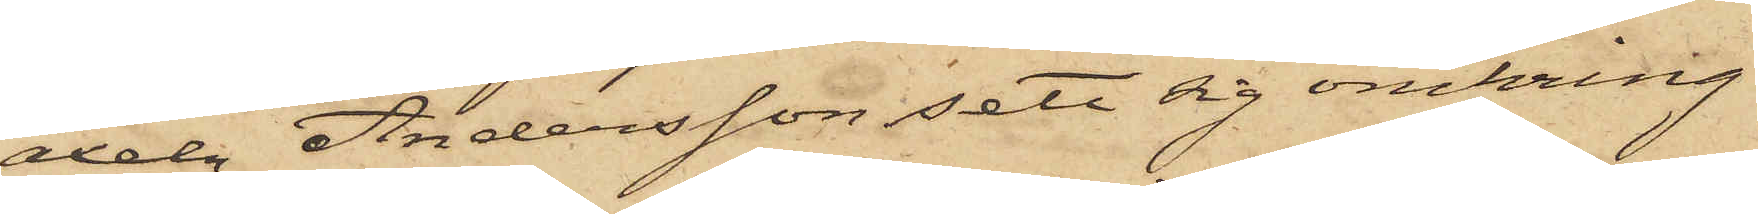axeln, Andersson sett sig omkring
